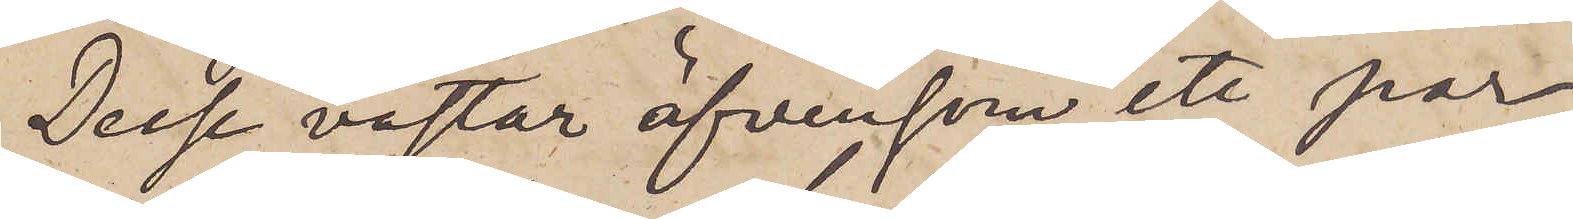Desse västar äfvensom ett par
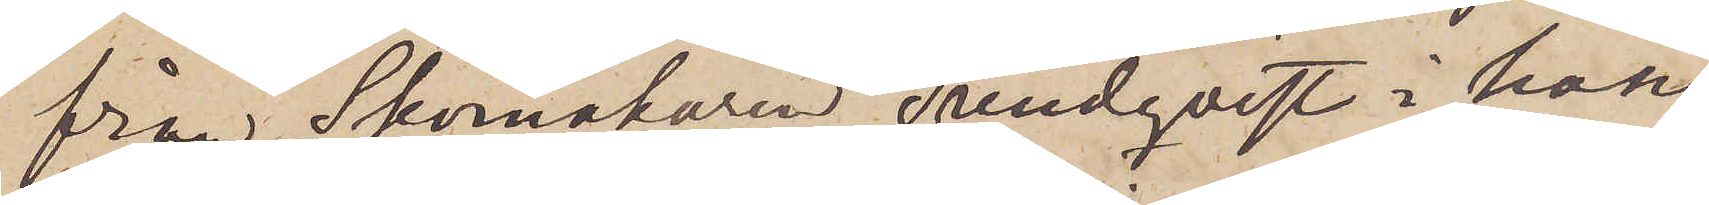från Skomakaren Lundqvist i hans
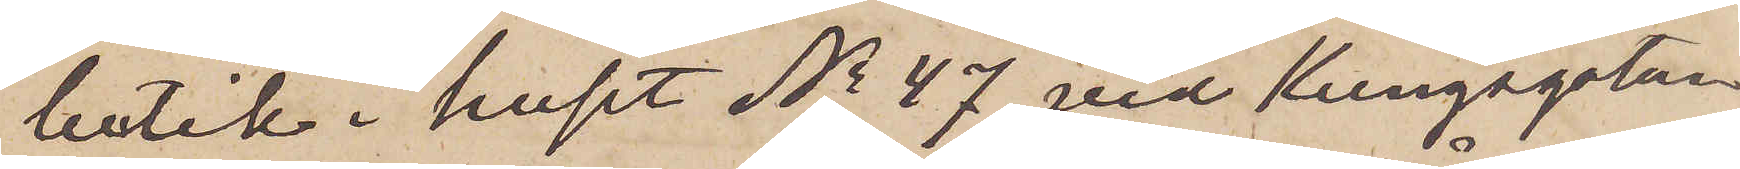butik i huset No 47 vid Kungsgatan
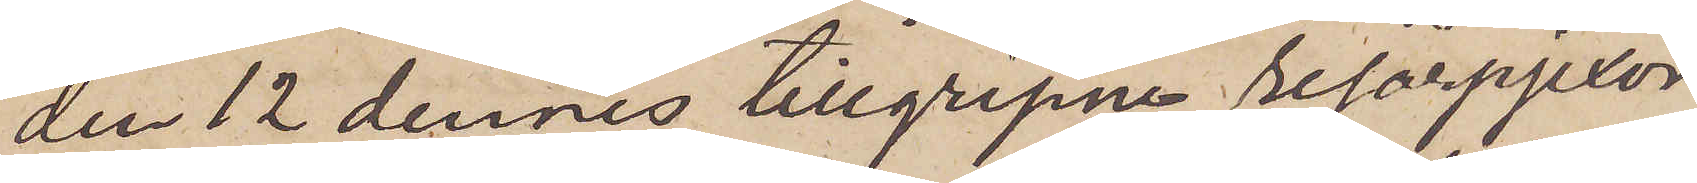den 12 dennes tillgripne resårpjexor
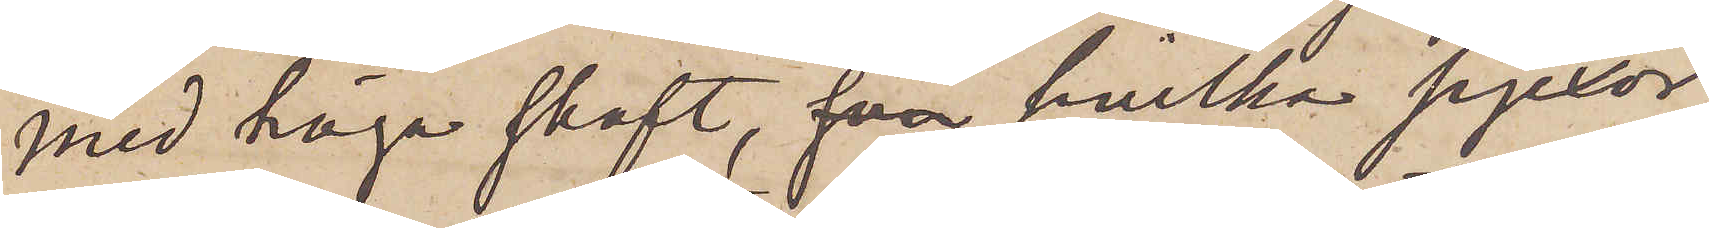med höga skaft,  hvilka pjexor
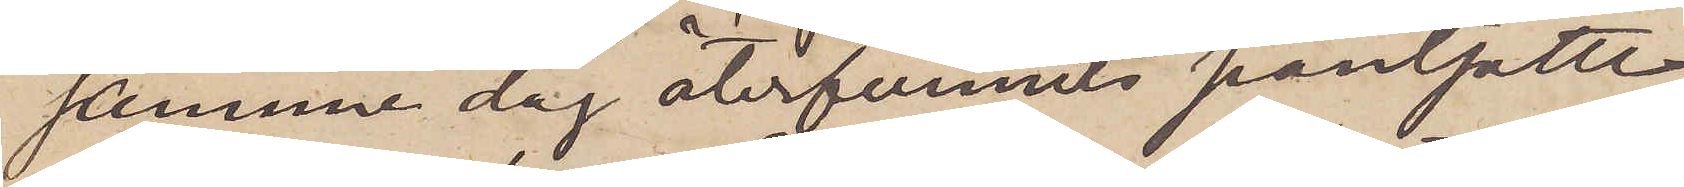samme dag återfunnits pantsatte
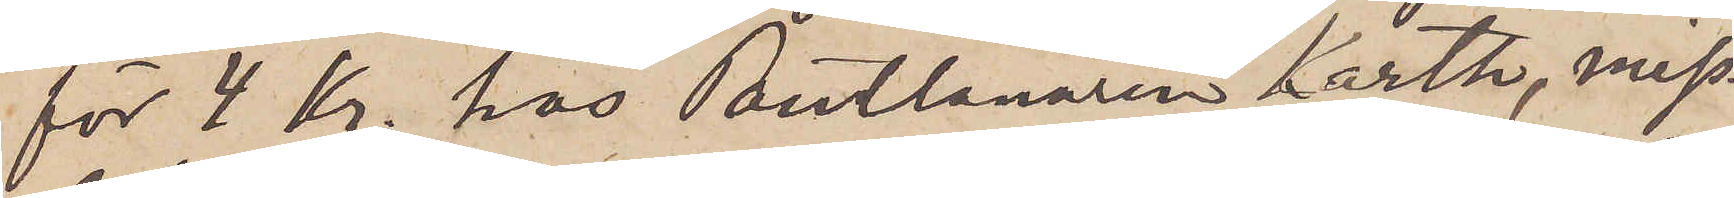för 4 Kr. hos Pantlånaren Karth, miss¬
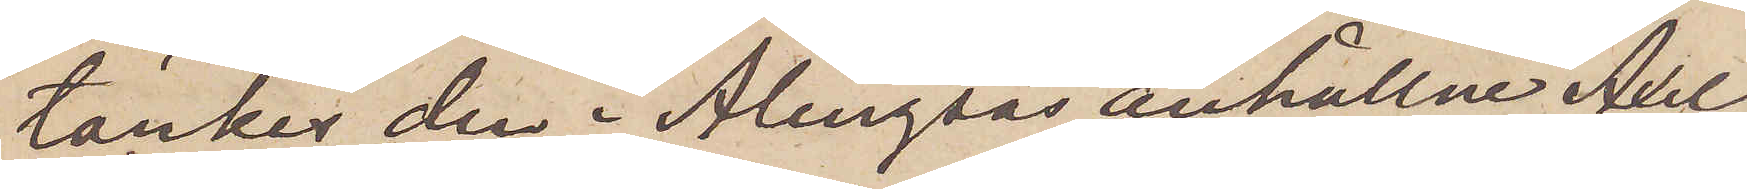tänkes den i Alingsås anhållne Axel
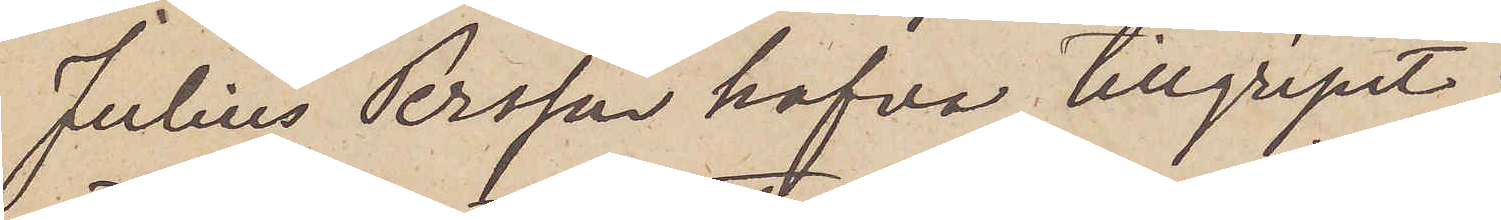Julius Persson hafva tillgripit.
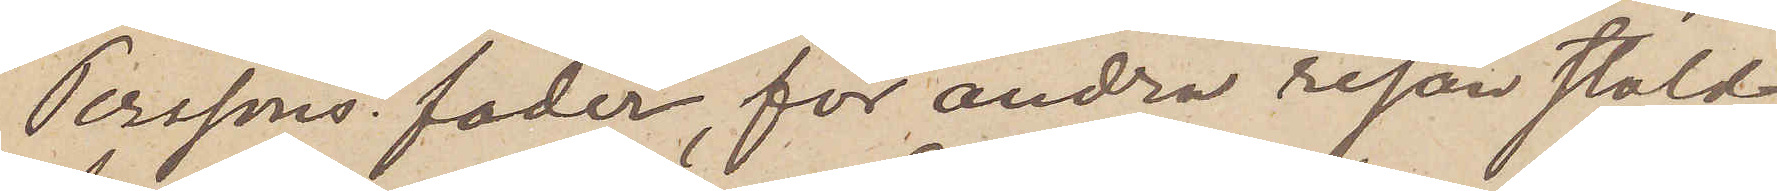Perssons fader, för andra resan stöld
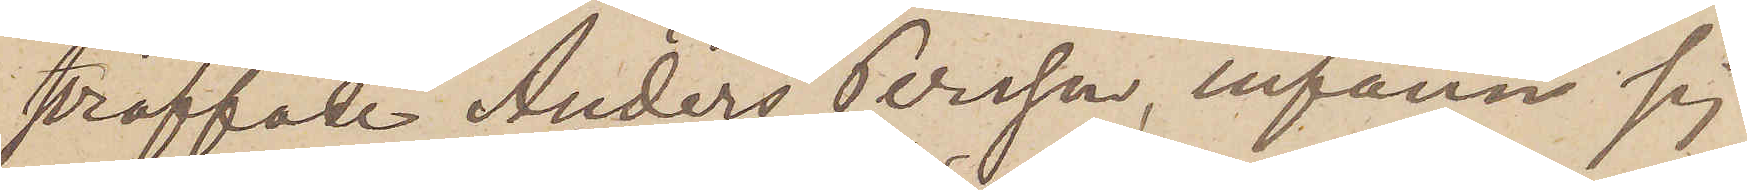straffade Anders Persson, infann sig
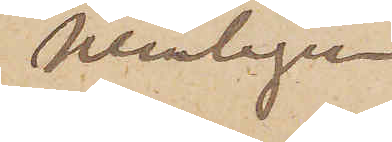nemligen
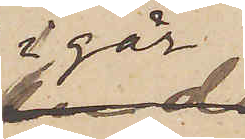i går
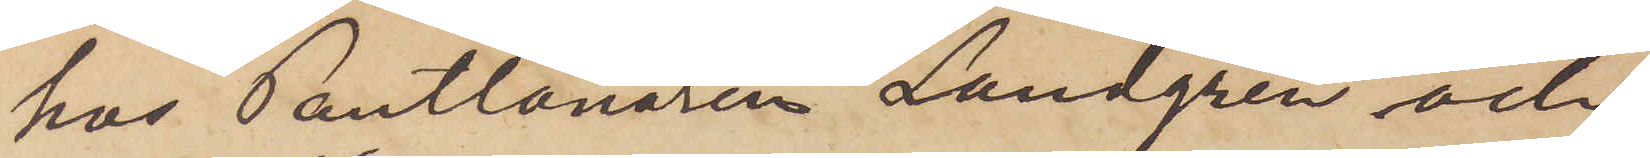hos Pantlånaren Lundgren och
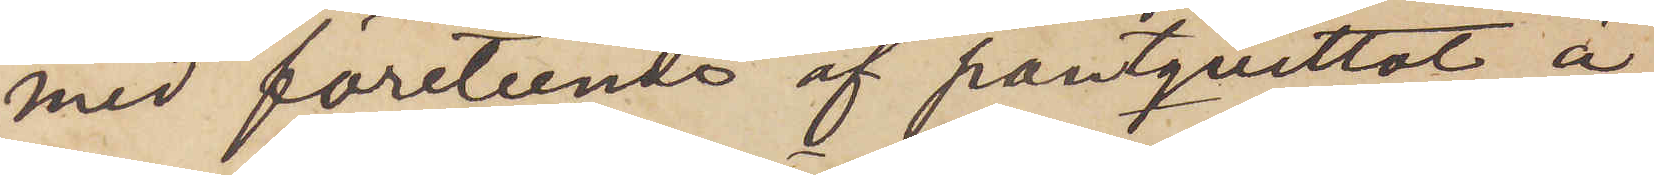med företeende af pantqvittot å
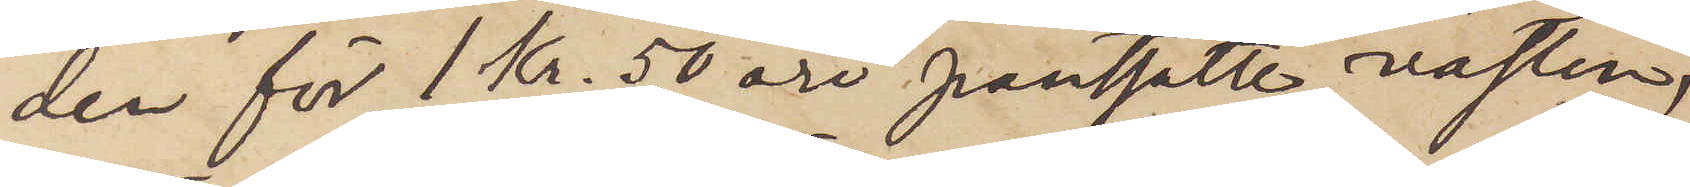den för 1 Kr. 50 öre pantsatte västen,
